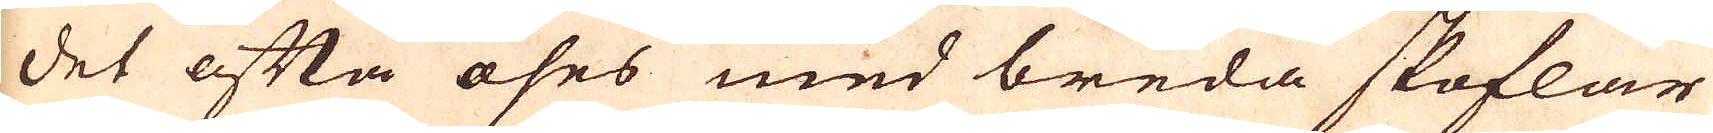det ofta öses med breda skoflar
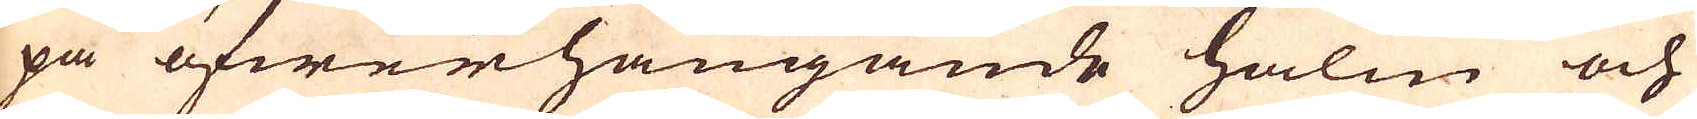på öfwerhängande halm och
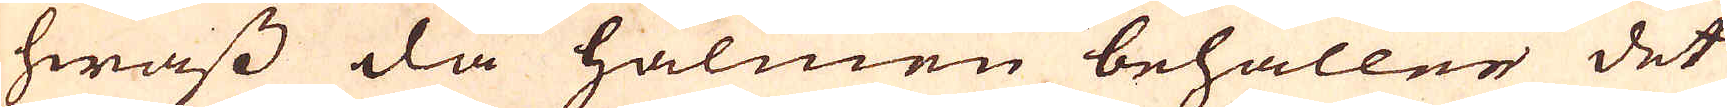hwass då halmen behåller det
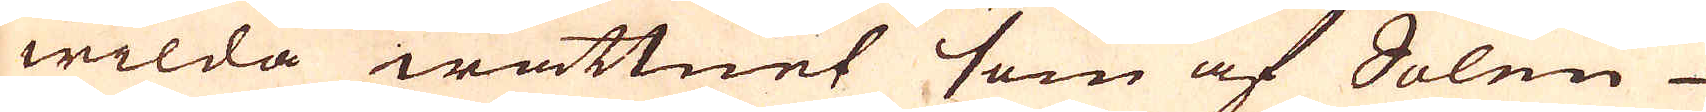wilda wattnet som af Solen
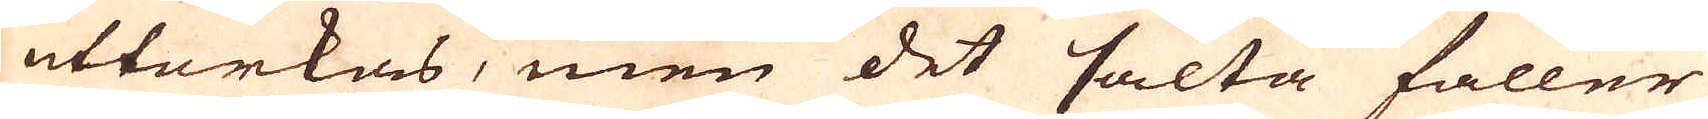uttorkas, men det salta faller
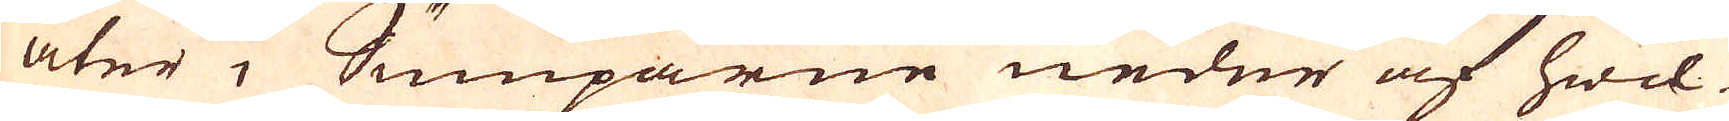åter i Sumparne neder af hwil-
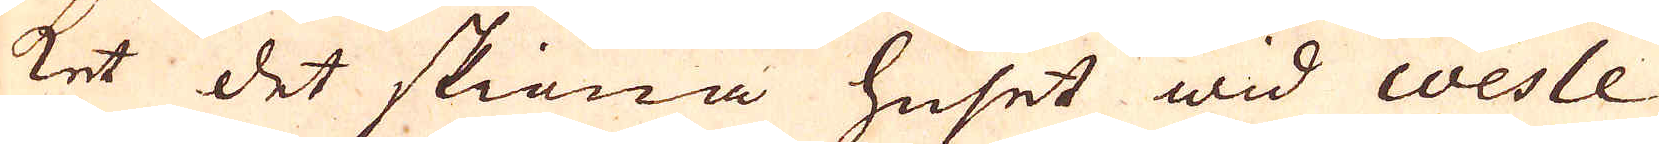ket det skiöna huset wid coesle
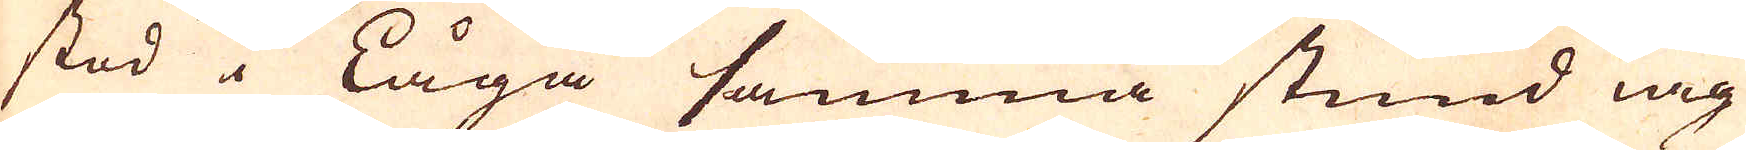stod i Låga samma stund iag
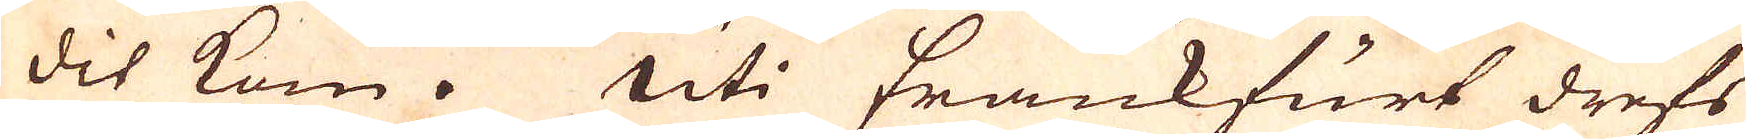dit kom. Uti Frankfurt drefs
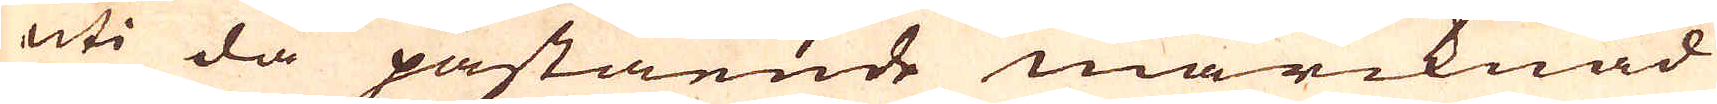uti då påstående marcknad
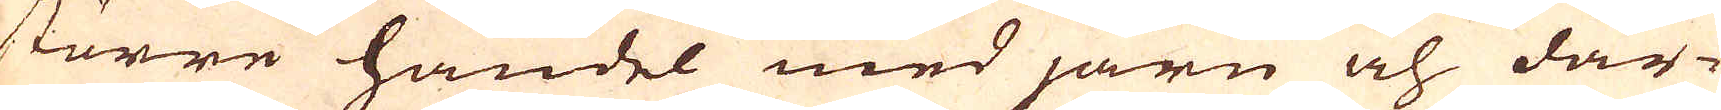större handel med järn och där-
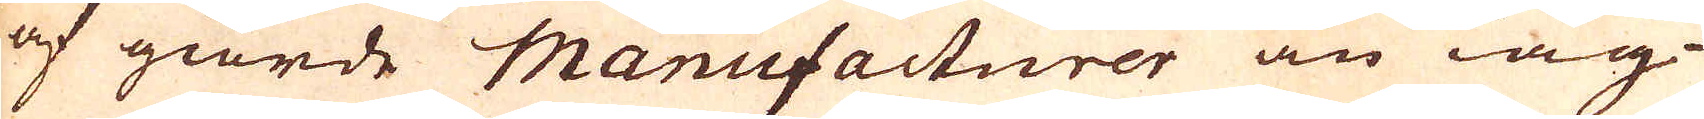af giorde Manufacturer än iag
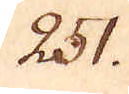251.
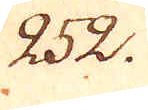252.
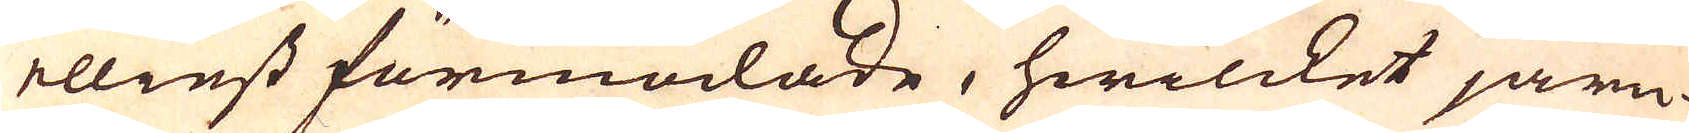ellinst förmodade, hwilcket järn
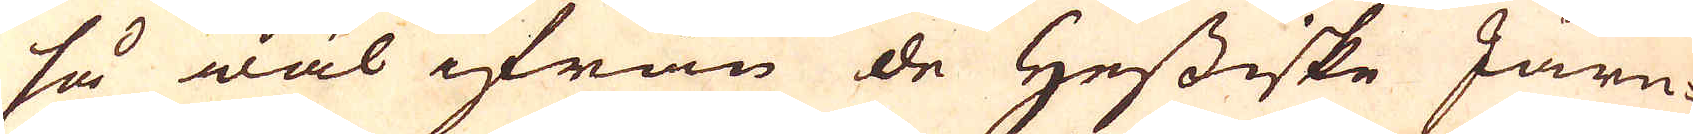så wäl ifrån de Hessiske Järn-
